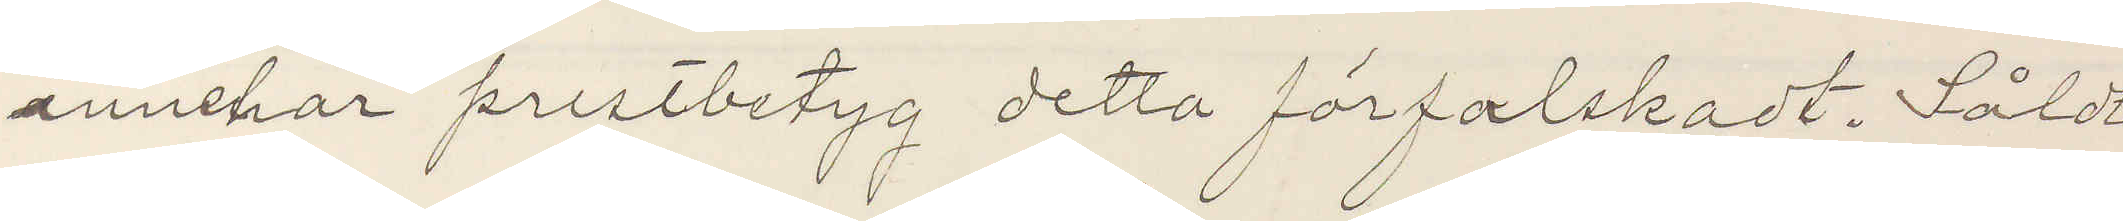innehar prestbetyg detta förfalskadt. Såldt
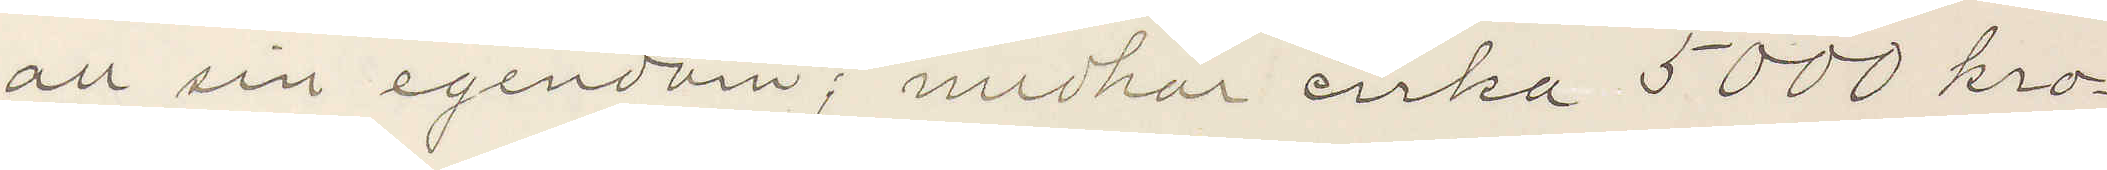all sin egendom; medhar cirka 5000 kro¬
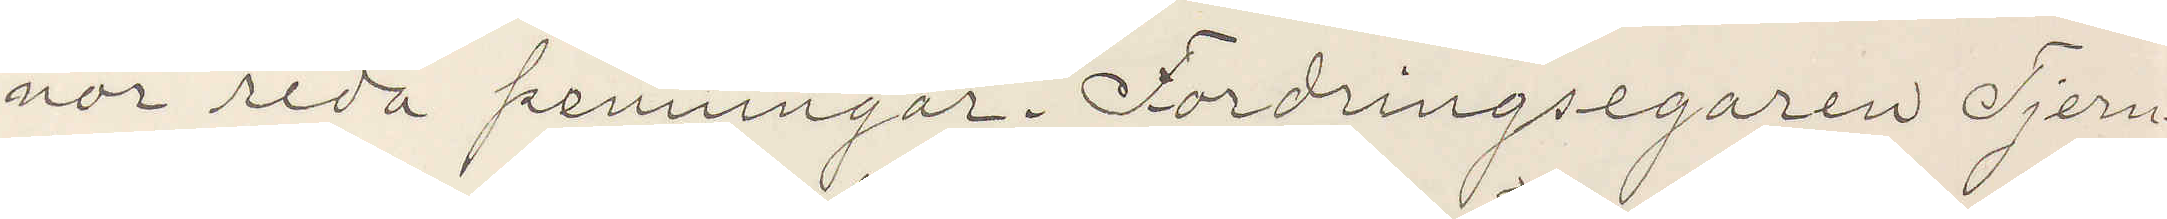nor reda penningar. Fordringegaren Tjern¬
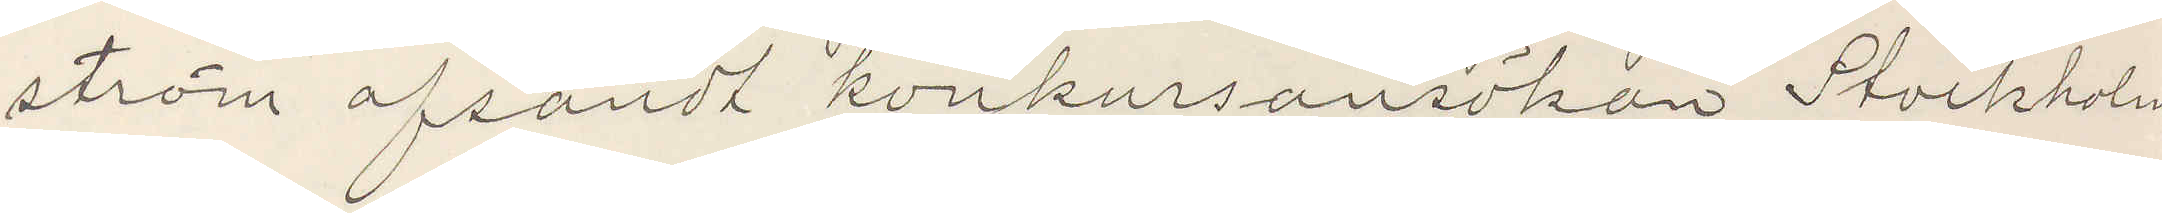ström afsandt konkursansökan Stockholm,
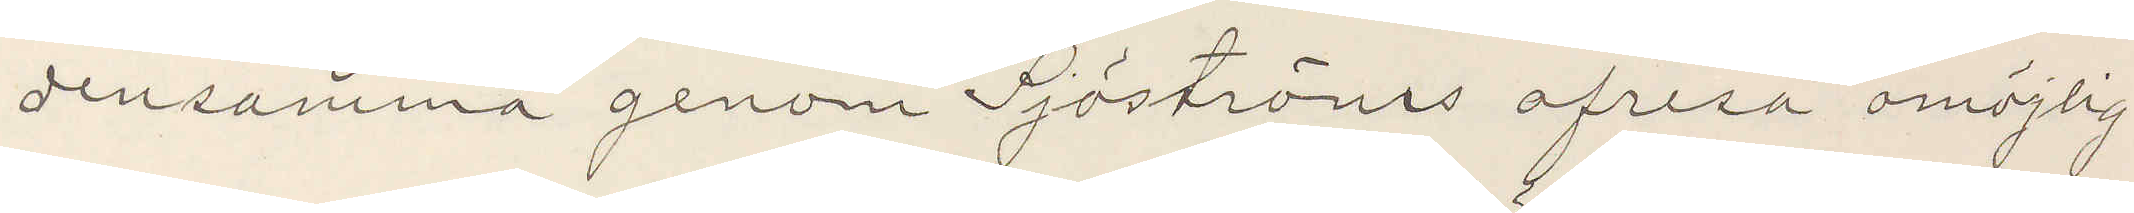densamma genom Sjöströms afresa omöjlig
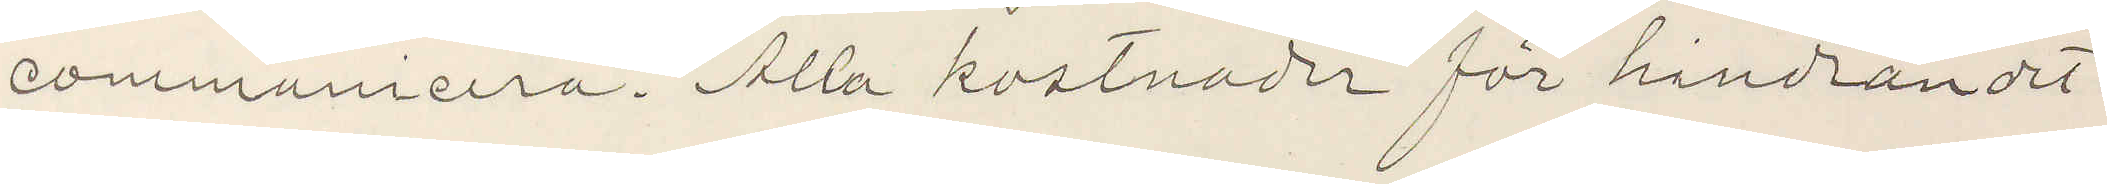comminicera. Alla kostnader för hindrandet
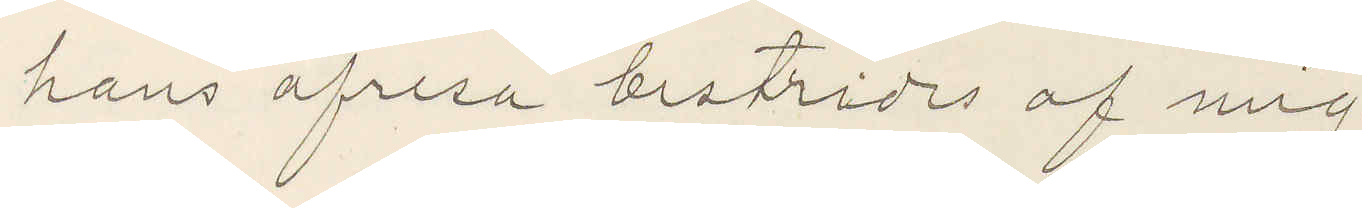hans afresa bestrides af mig.
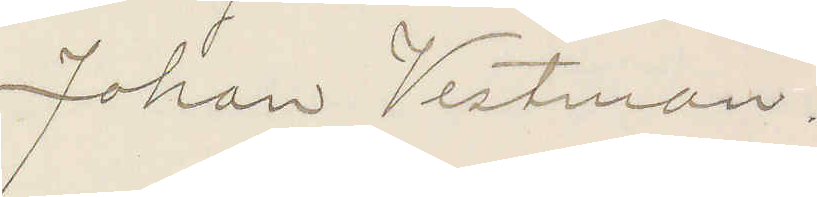Johan Vestman.
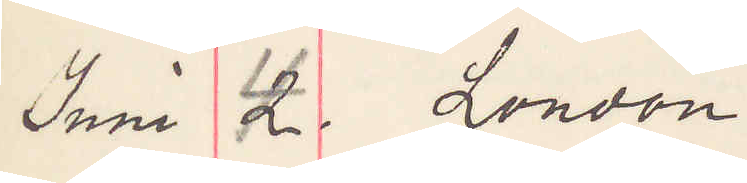Juni 4 London
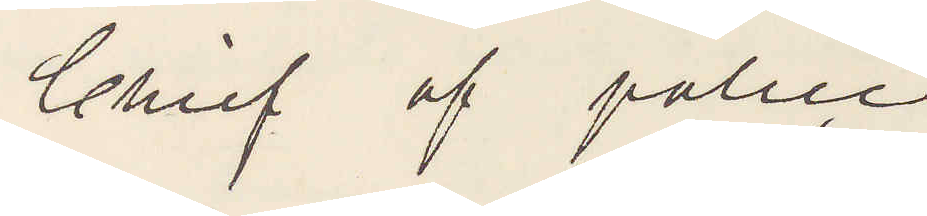Chief of police
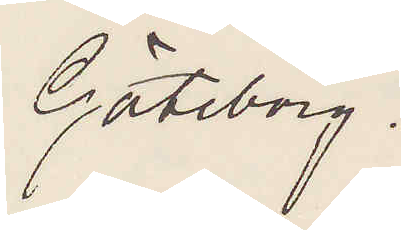Göteborg.
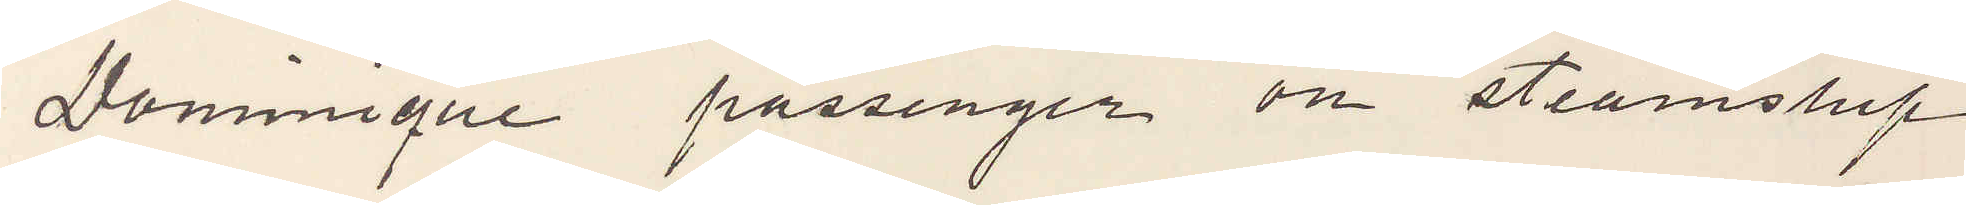Dominique passenger om steamship
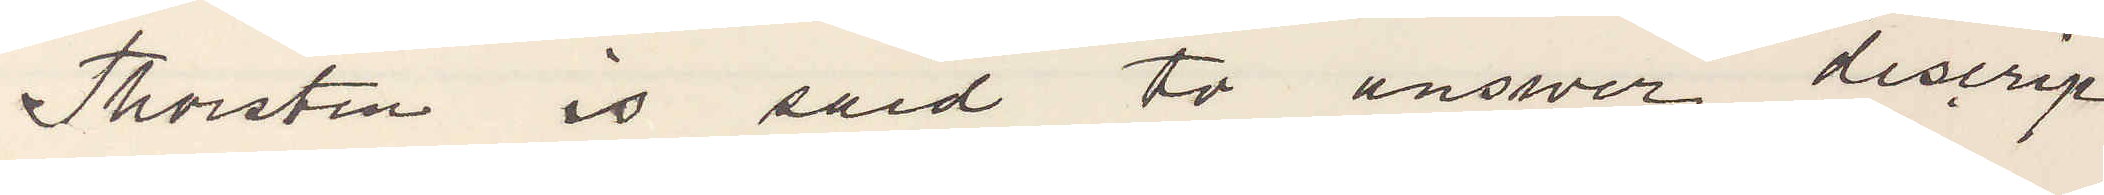Thorsten is said to answer descrip¬
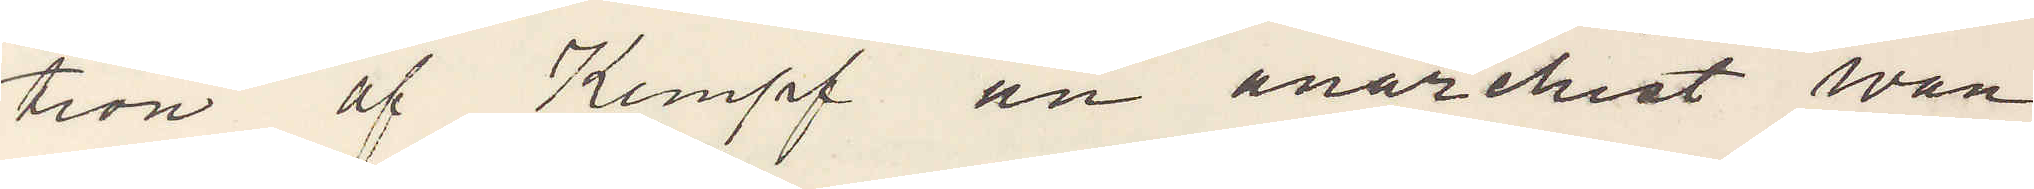tion of Kempf an anarchist wan¬
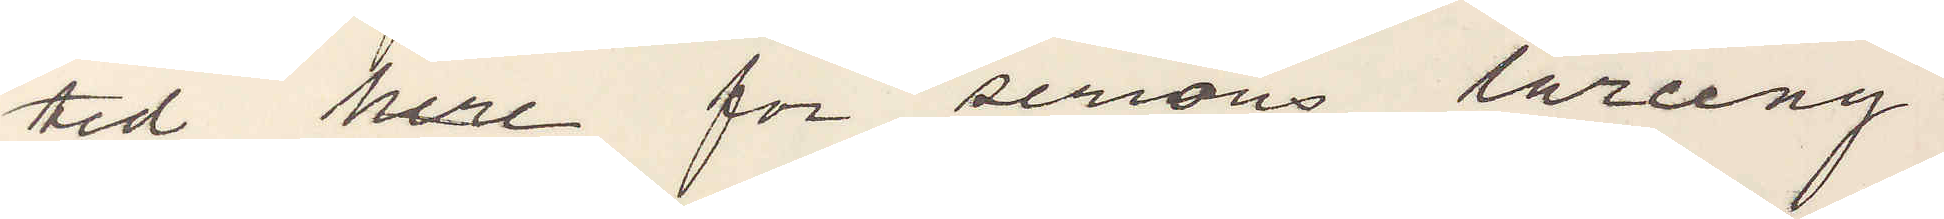ted here for serious larceny.
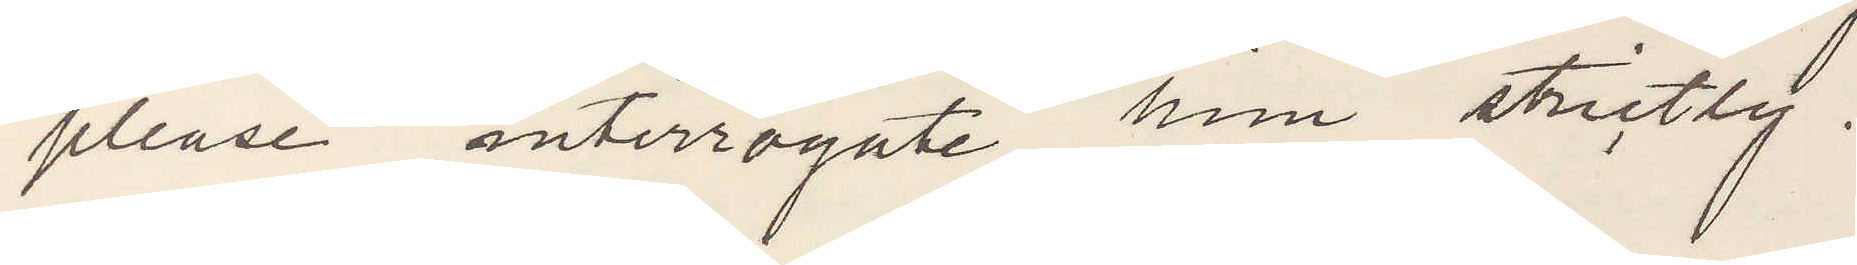please interrogate him strictly.
